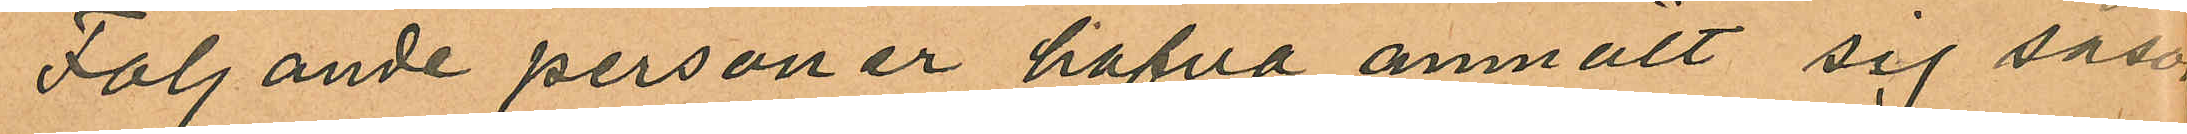Följande personer hafva anmält sig såsom
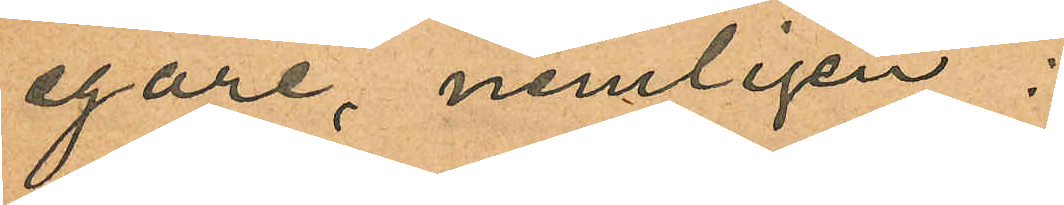egare, nemligen:
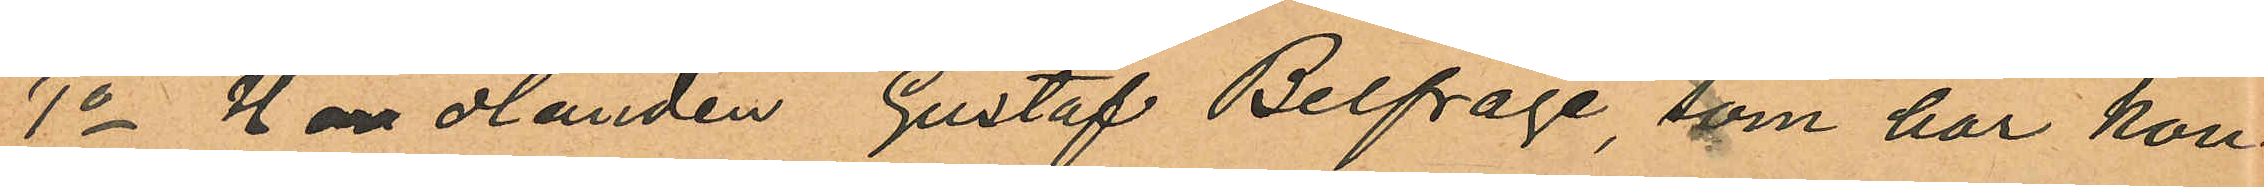1o Handlanden Gustaf Belfrage, som har kon¬
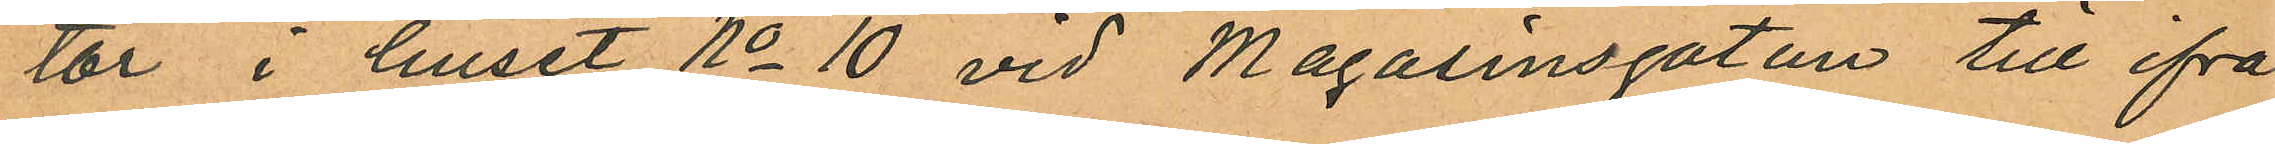tor i huset No 10 vid Magasinsgatan till frå¬
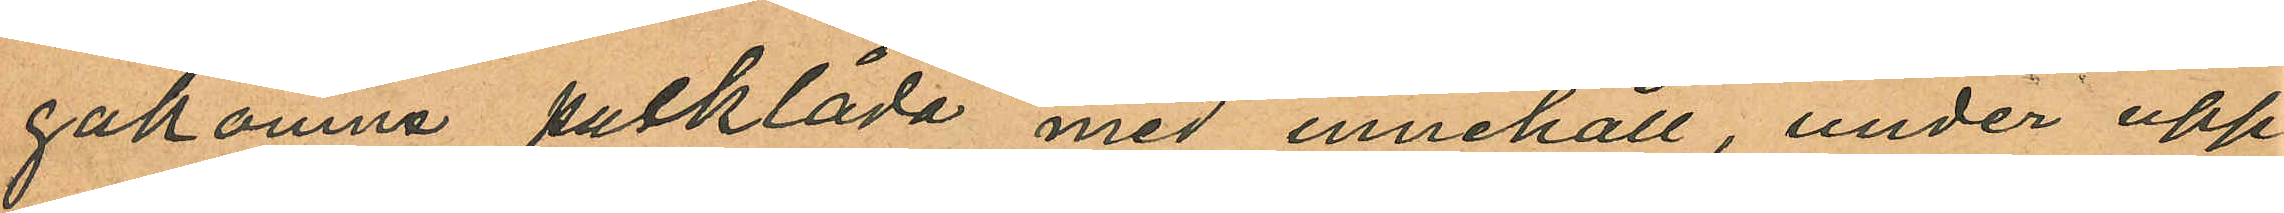gakomna packlåda med innehåll, under upp
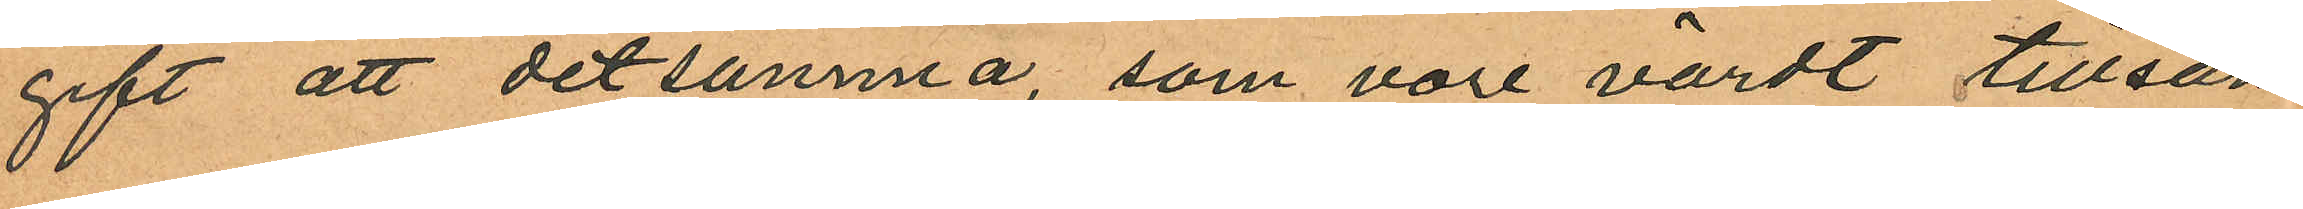gift att detsamma, som vore värdt tillsam¬
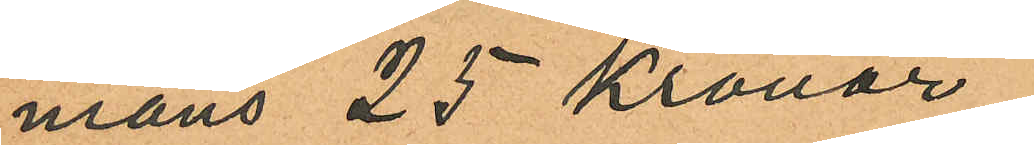mans 25 Kronor,
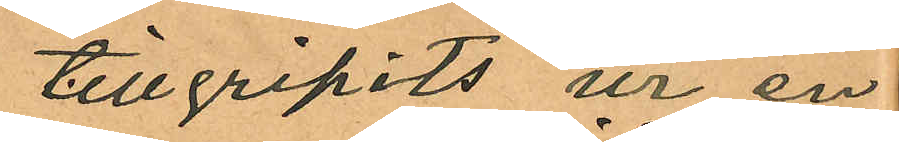tillgripits ur en
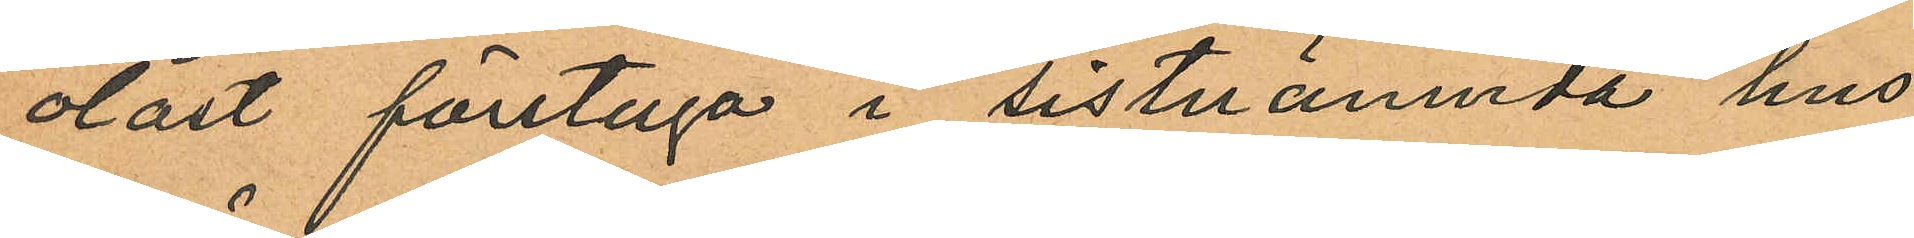olåst förstuga i sistnämnda hus
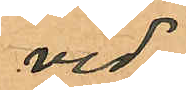vid
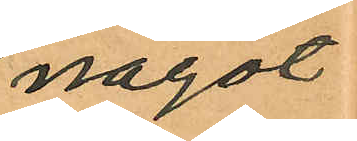något
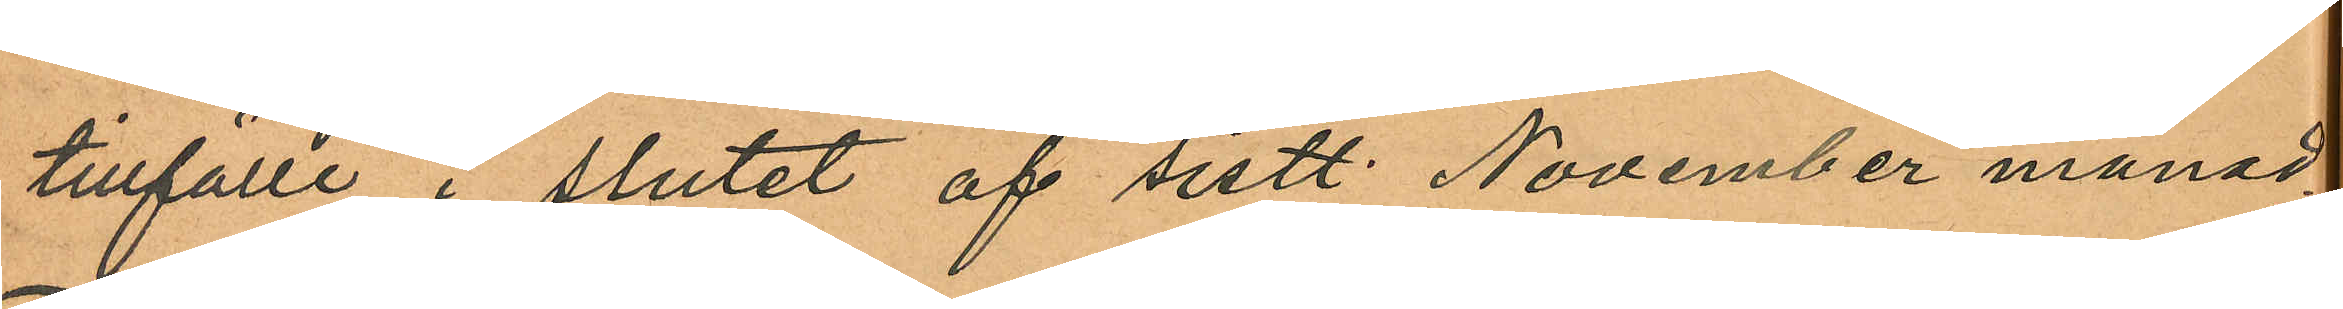tillfälle i slutet af sistl. November månad;
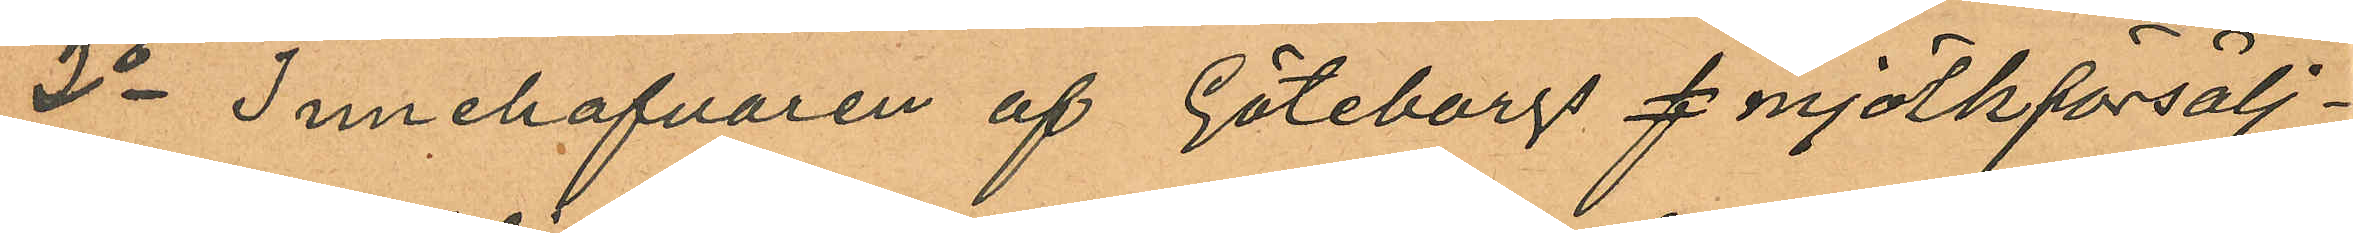2o Innehafvaren af Göteborgs f mjölkförsälj¬
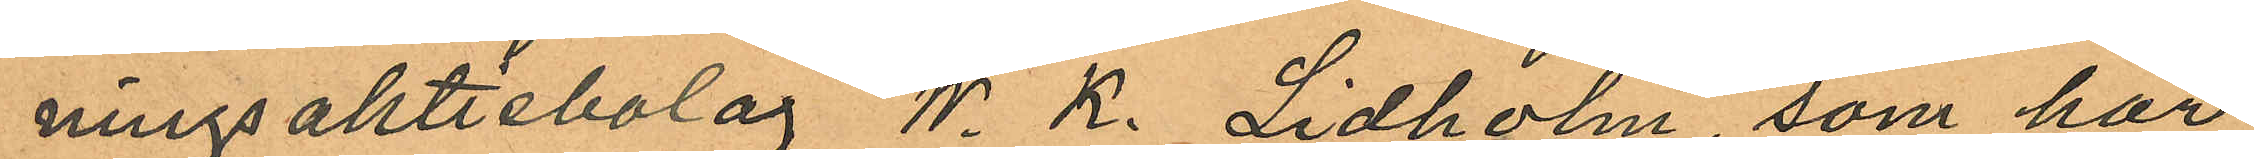ningsaktiebolag W. K. Lidholm, som har
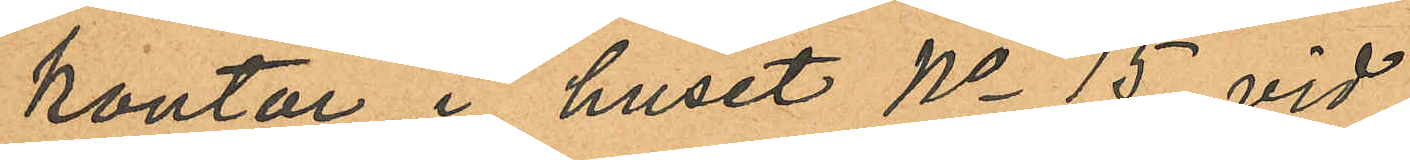kontor i huset No 15 vid
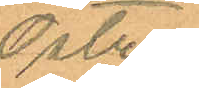Östra
